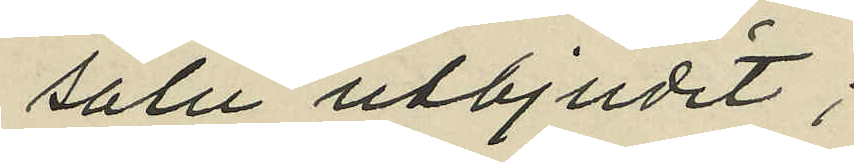salu utbjudit;
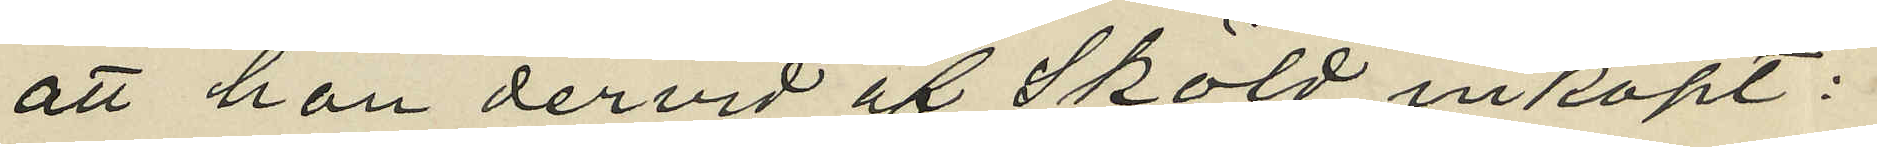att hon dervid af Sköld inköpt:
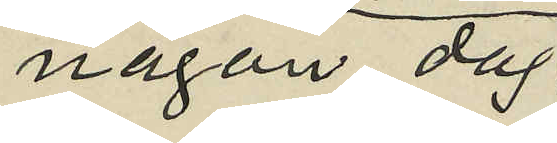någon dag
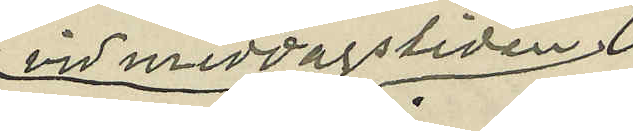vid middagstiden
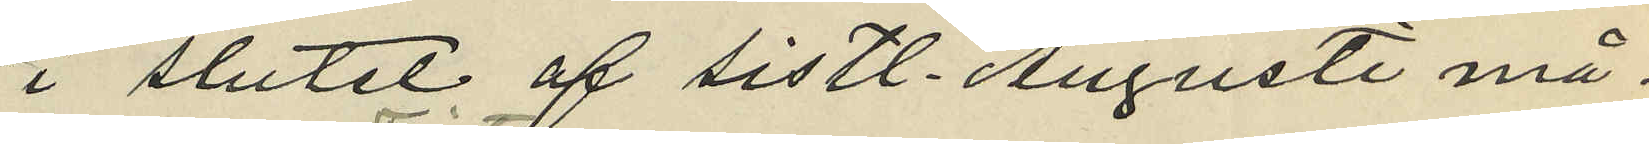i slutet af sistl. Augusti må¬
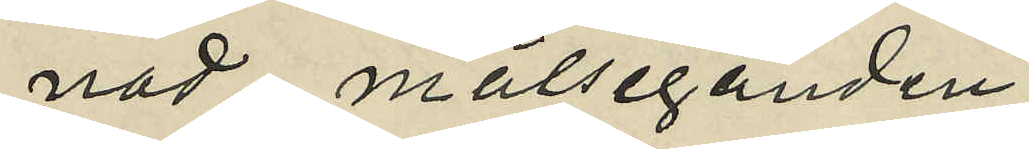nad målseganden
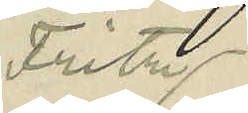Fritz
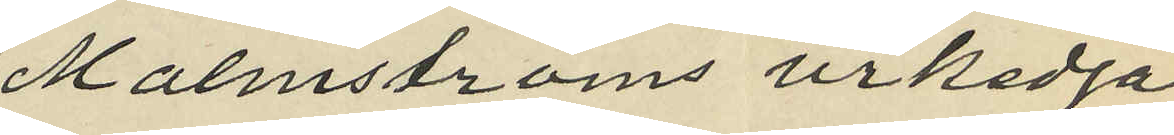Malmströms urkedja
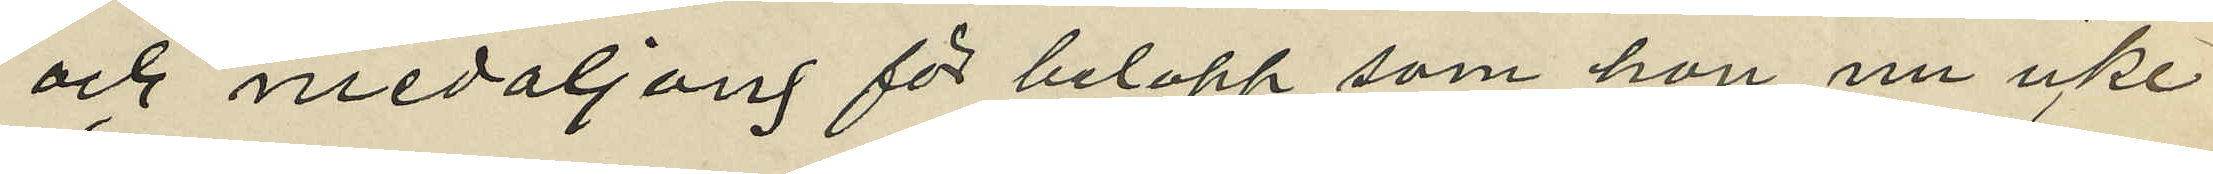och medaljong för belopp som hon nu icke
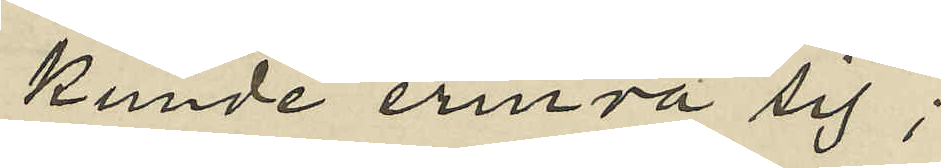kunde erinra sig;
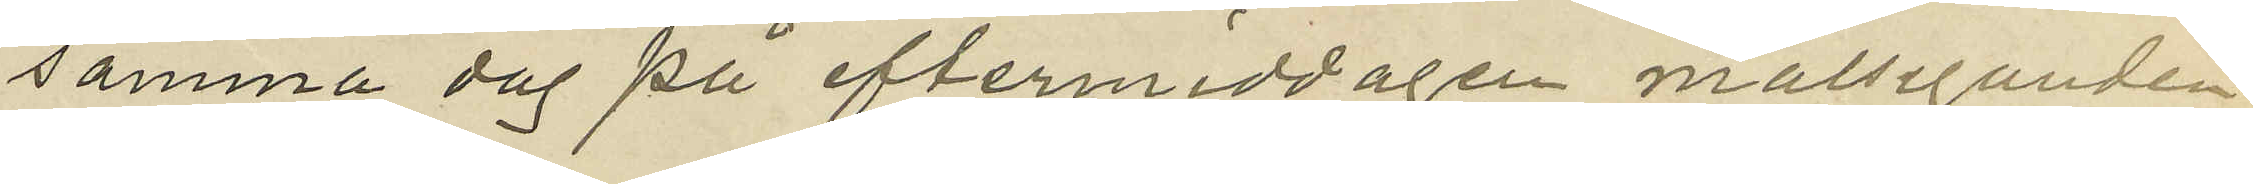samma dag på eftermiddagen målseganden
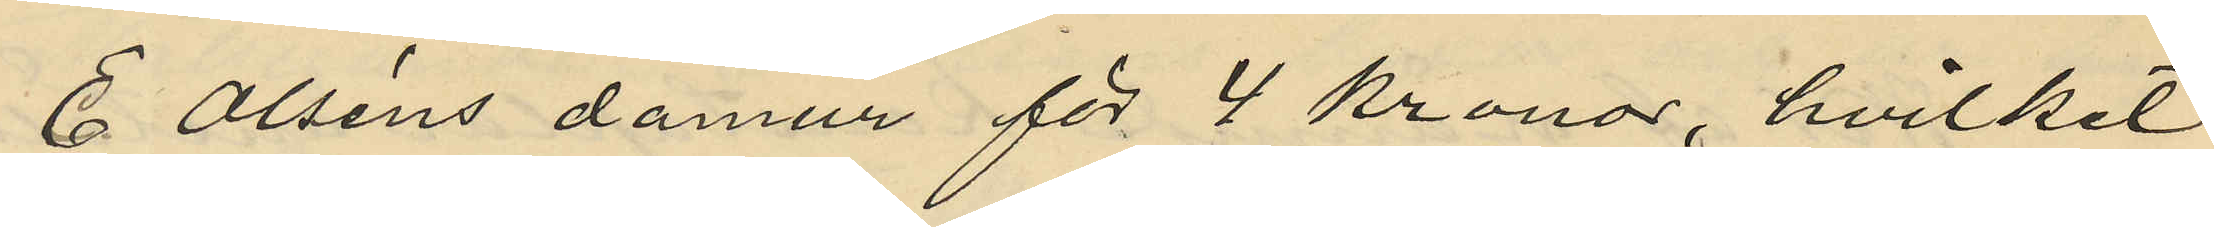E Olséns damur för 4 kronor, hvilket
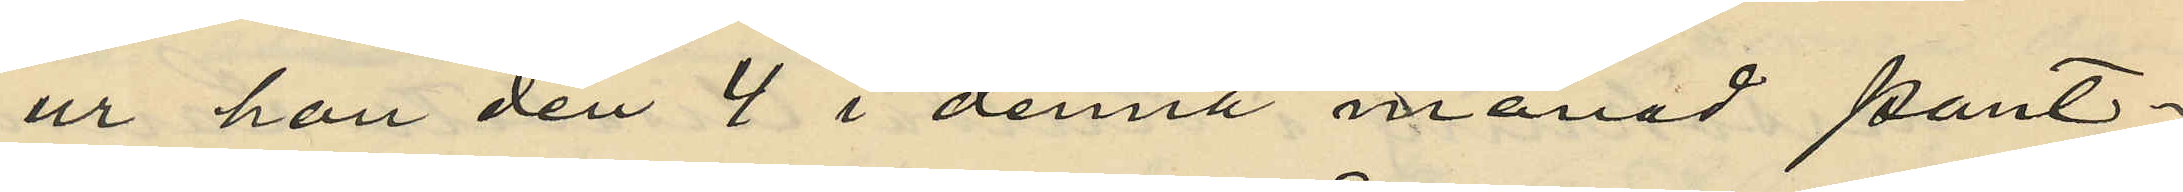ur hon den 4 i denna månad pant¬
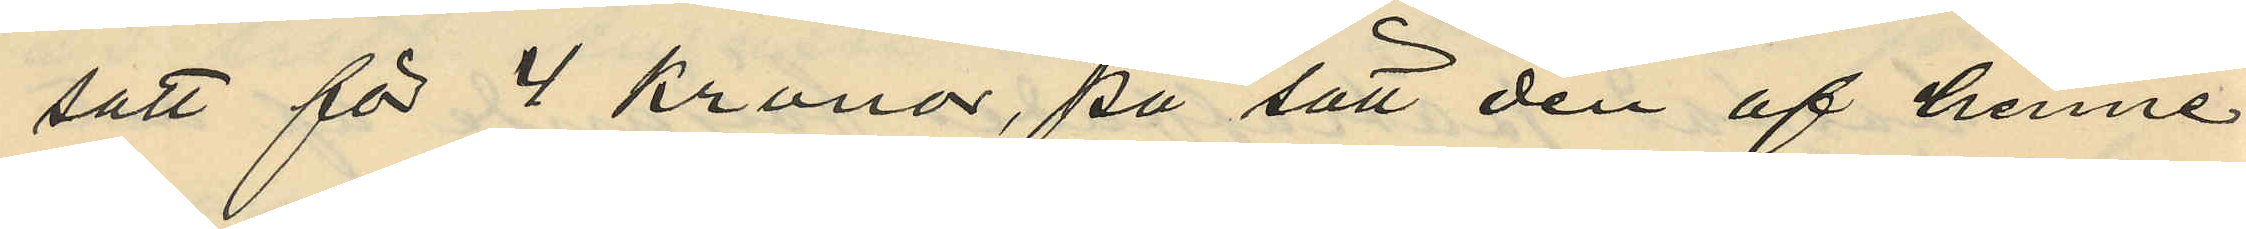satt för 4 kronor, på sätt den af henne
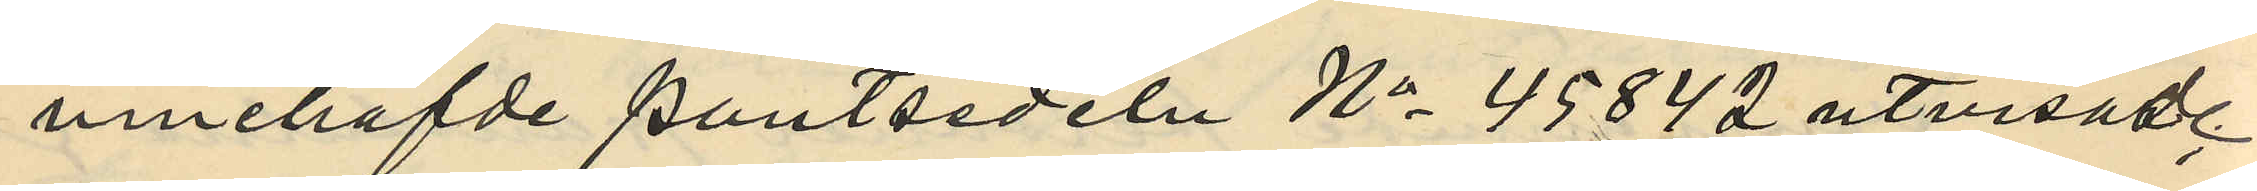innehafvde pantsedeln No 45842 utvisad
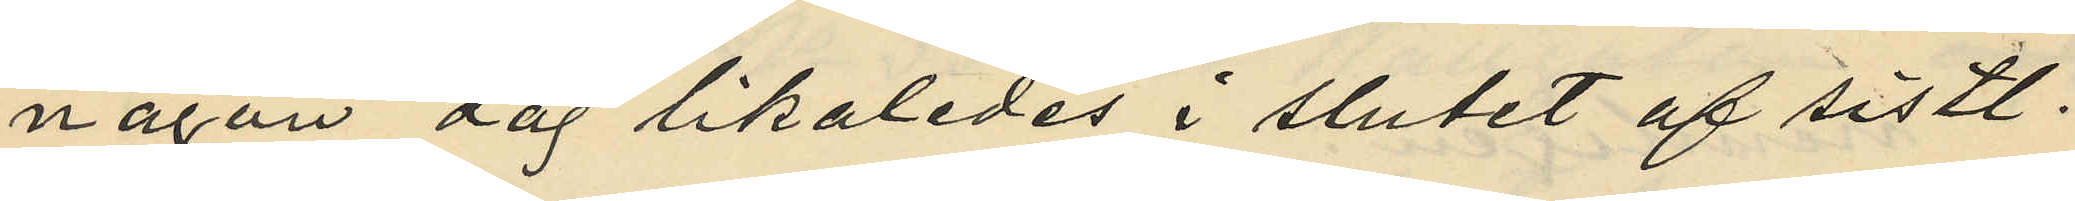någon dag likaledes i slutet af sistl.
